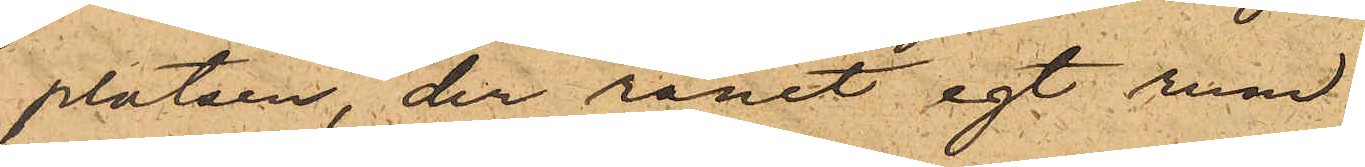platsen, der rånet egt rum.
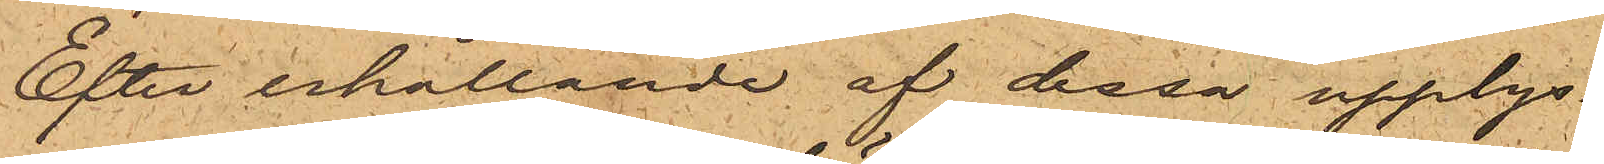Efter erhållande af dessa upplys¬
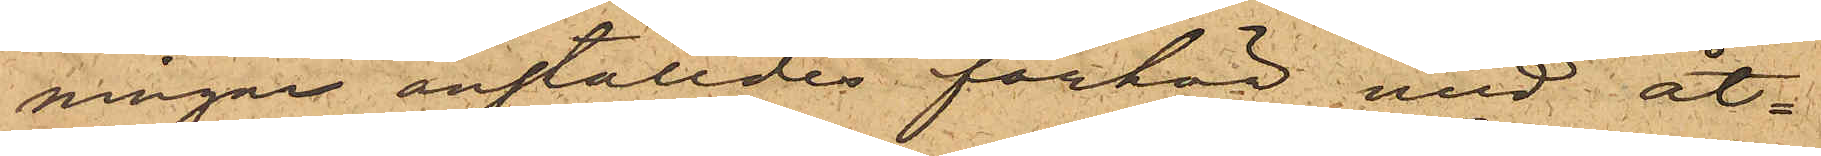ningar anställdes förhör med åt¬
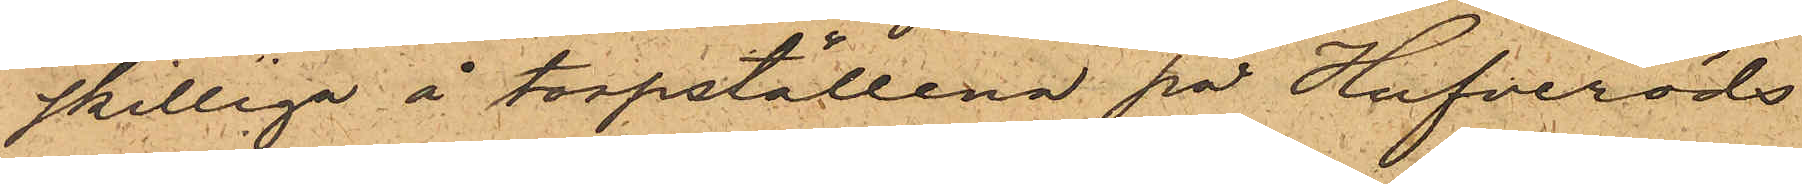skillige å torpställena på Hufveröds
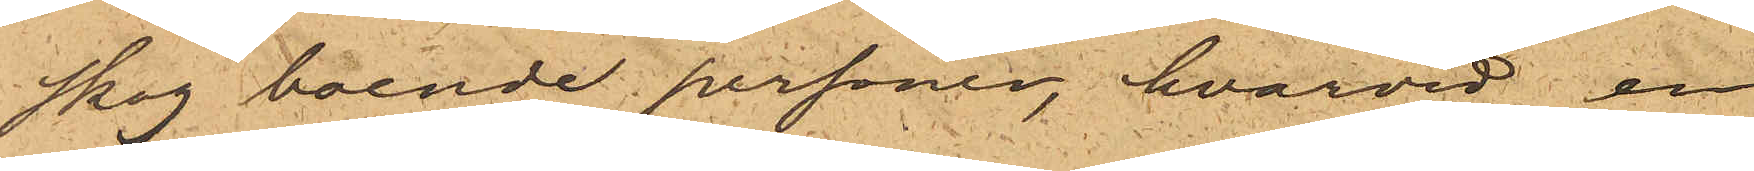skog boende personer, hvarvid en
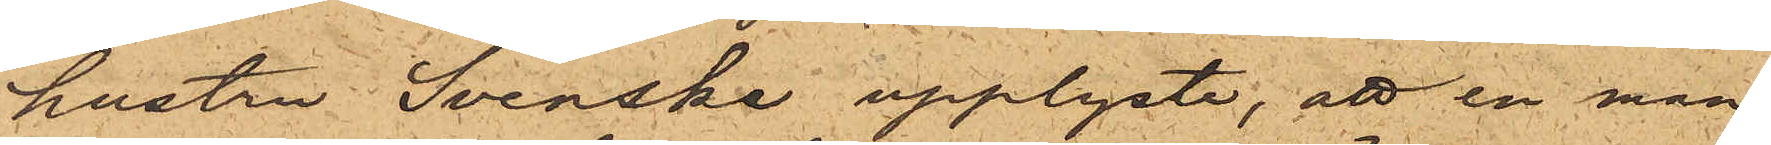hustru Svenska upplyste, att en man
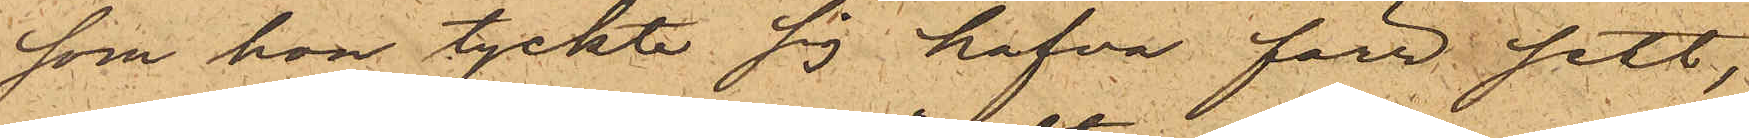som hon tyckte sig hafva förr sett,
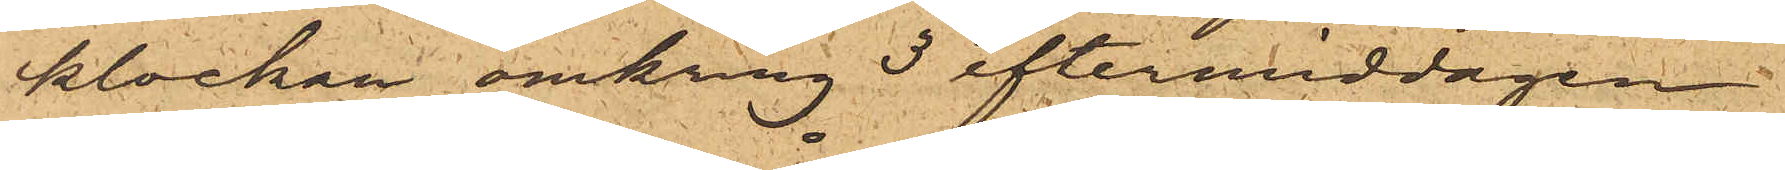klockan omkring 3 eftermiddagen
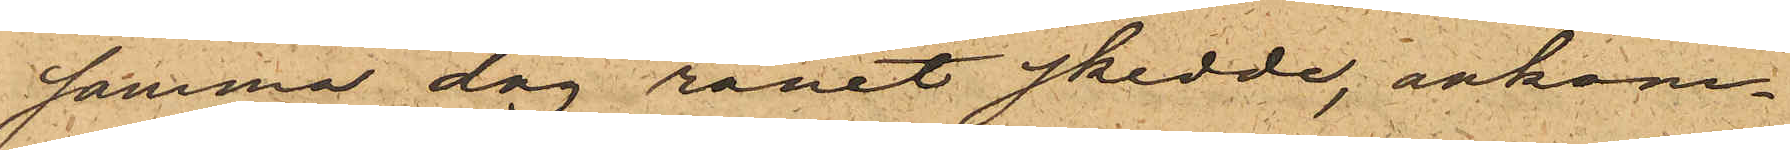samma dag rånet skedde, ankom¬
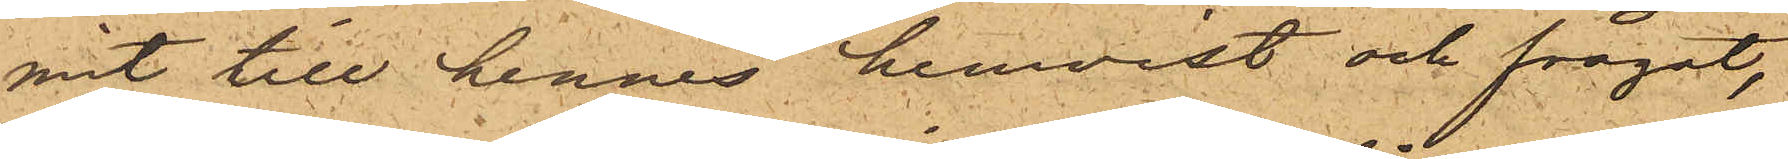mit till hennes hemvist och frågat,
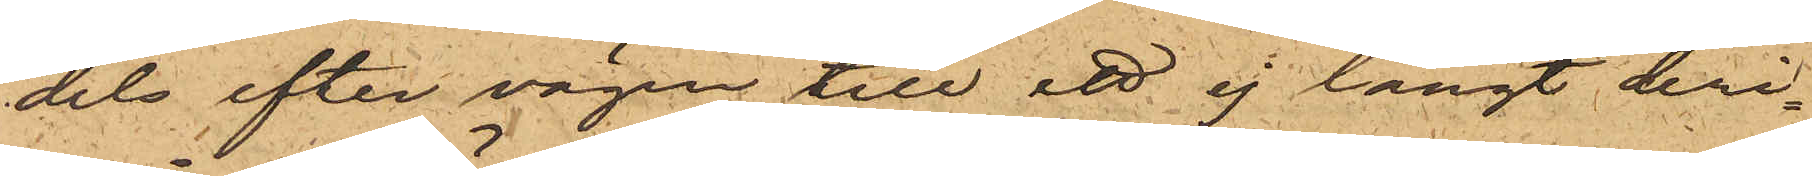dels efter vägen till ett ej långt deri¬
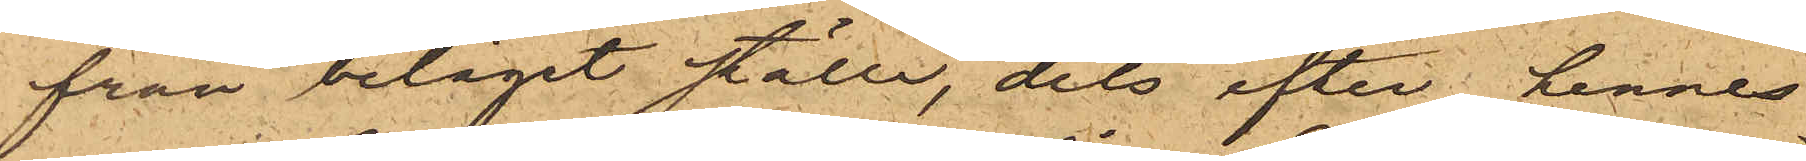från beläget ställe, dels efter hennes
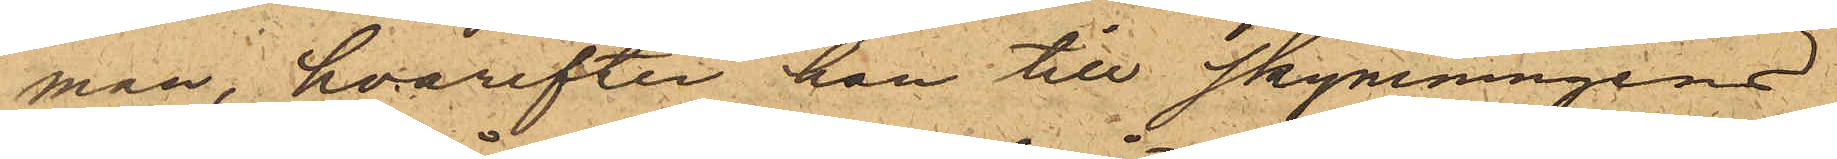man, hvarefter han till skymningens
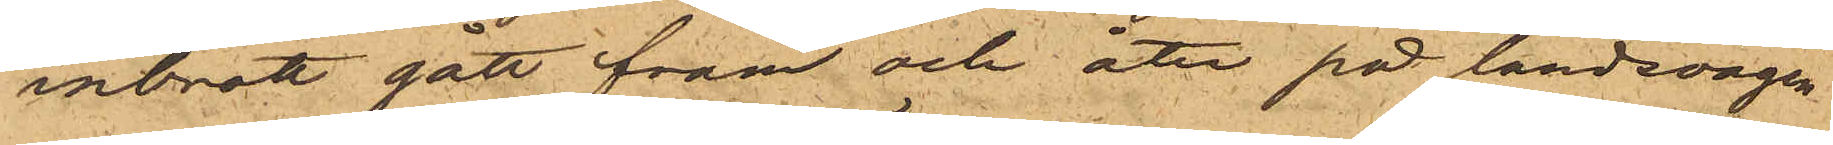inbrott gått fram och åter på landsvägen
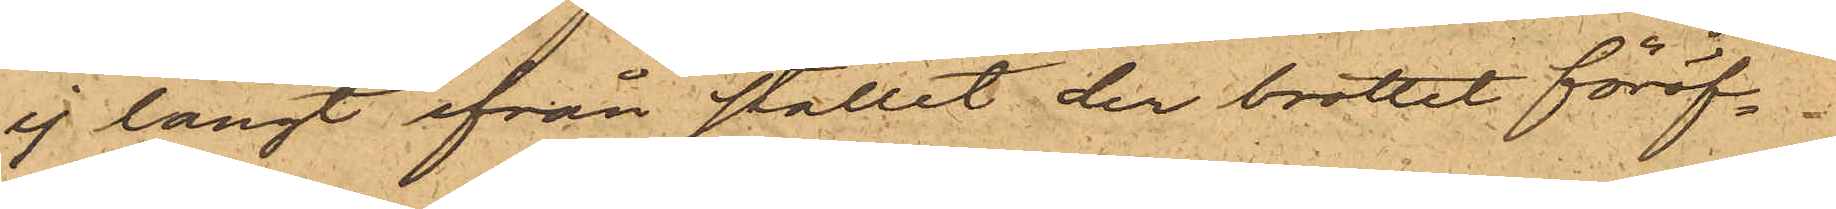ej långt ifrån stället der brottet föröf¬
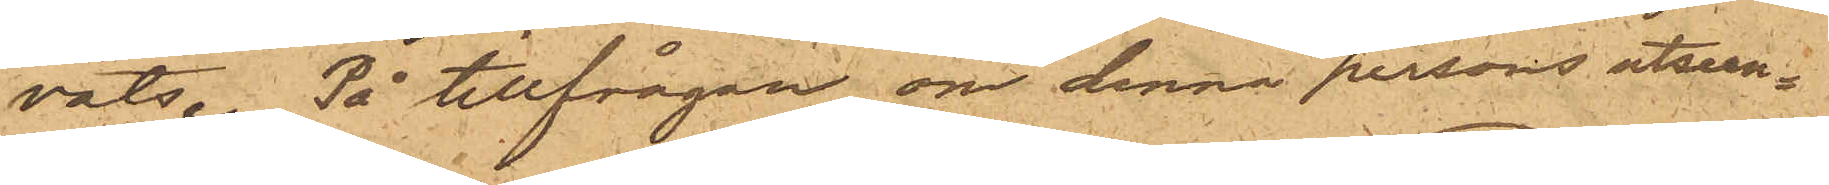vats. På tillfrågan om denna persons utseen¬
